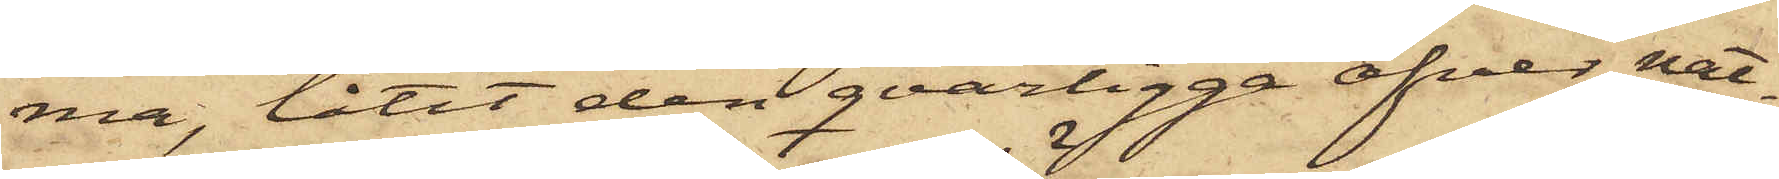ma, låtit den qvarligga öfver nat¬
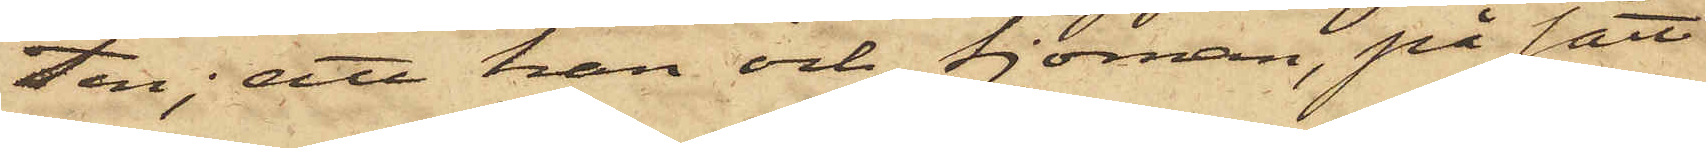ten; att han och Sjöman, på sätt
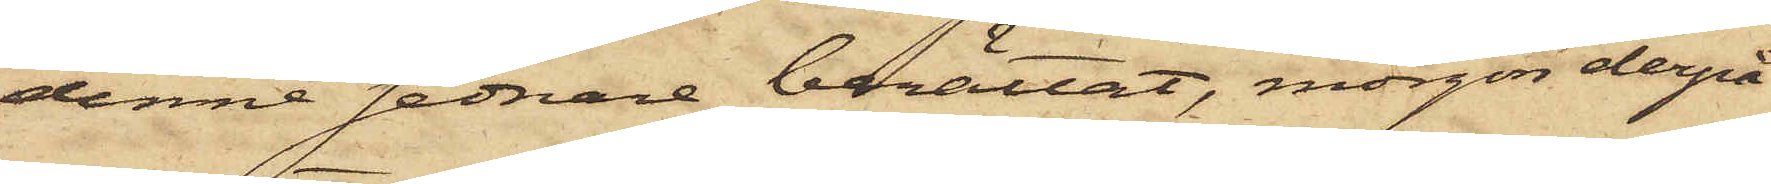denne sednare berättat, morgon derpå
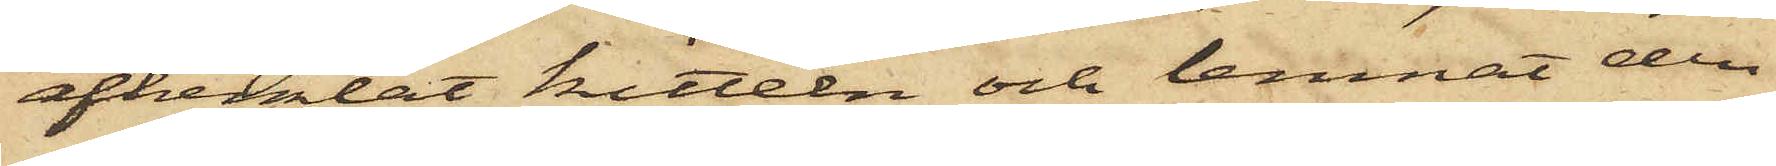afhemtat kitteln och lemnat den
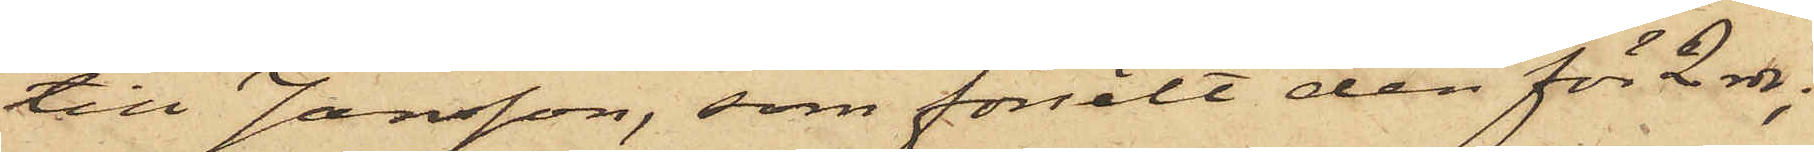till Jansson, som försålt den för 2 rdr;
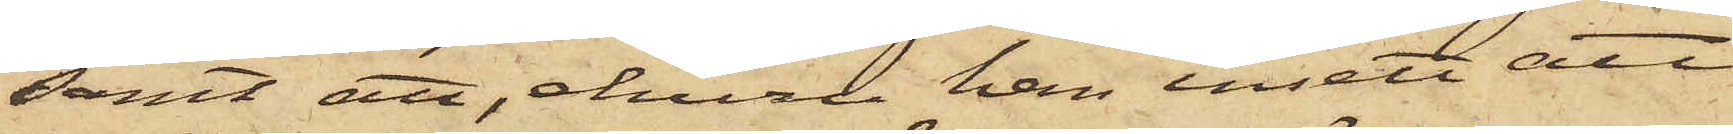samt att, ehuru han insett att
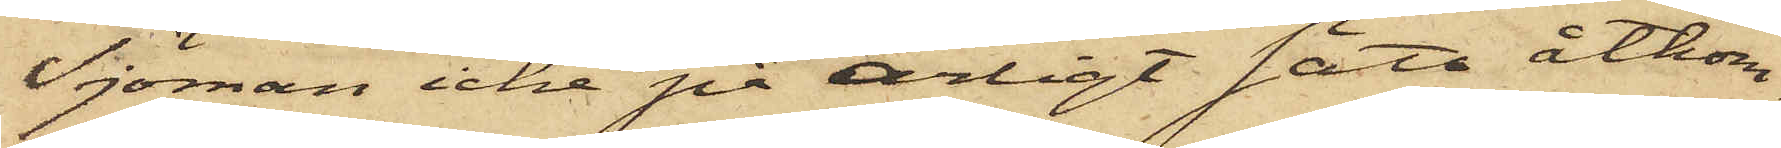Sjöman icke på ärligt sätt åtkom¬
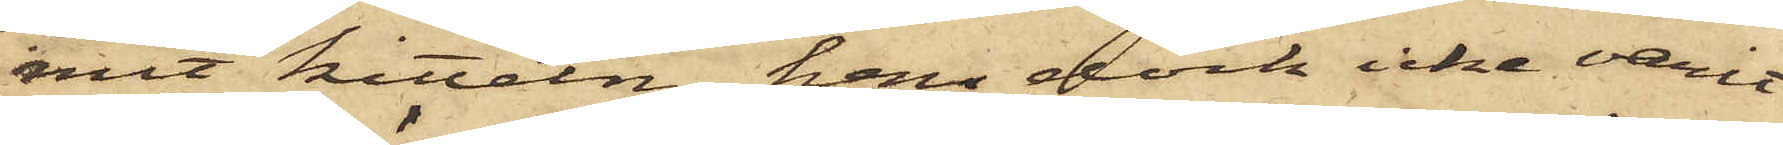mit kitteln, han dock icke varit
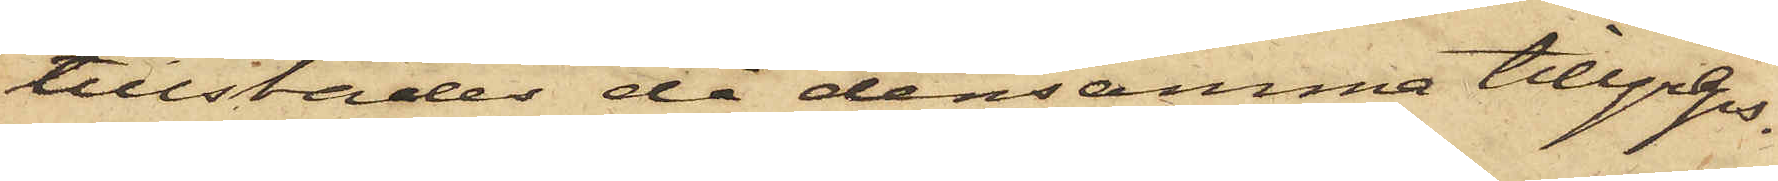tillstädes då densamma tillgreps.
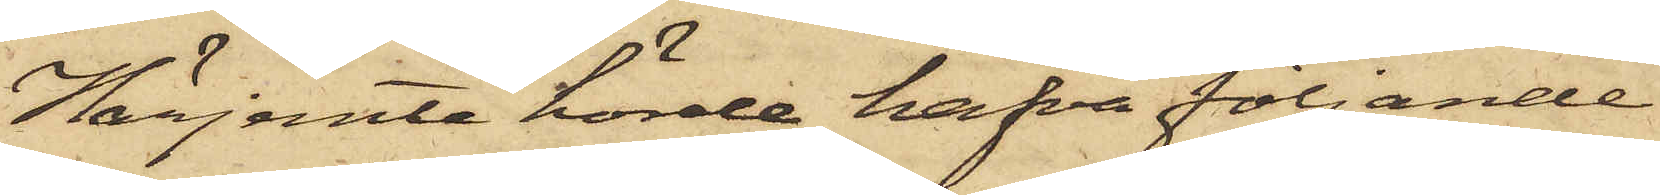Härjemte hörde hafva följande
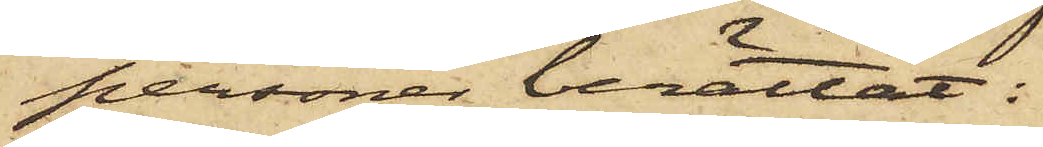personer berättat:
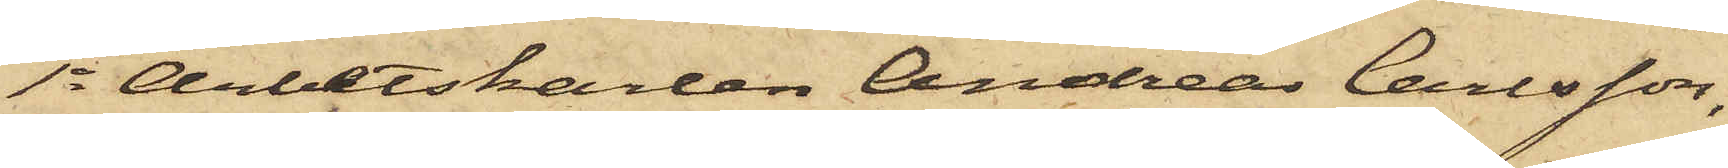1o Arbetskarlen Andreas Carlsson,
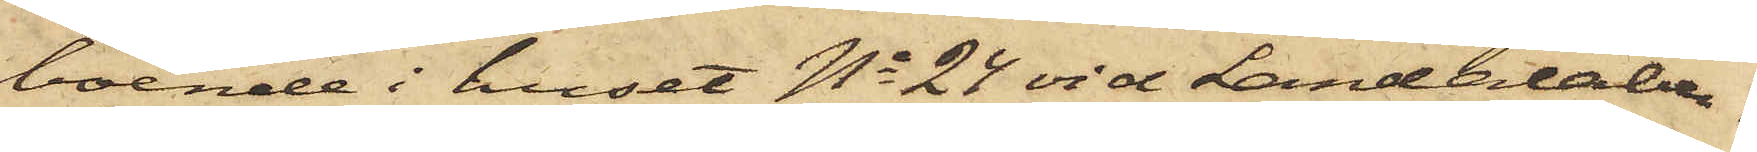boende i huset No 24 vid Landalaber¬
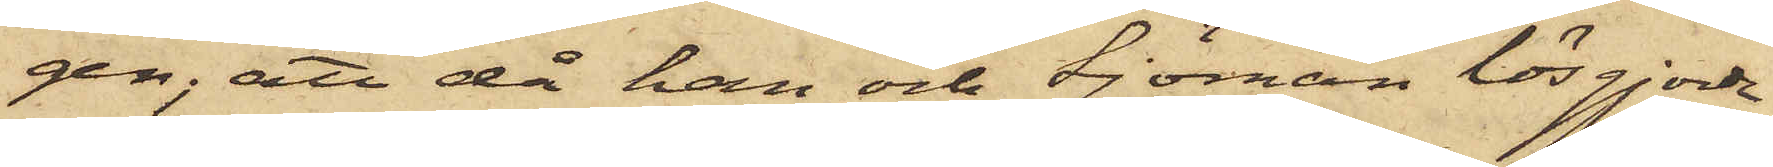gen; att då han och Sjöman lösgjorde
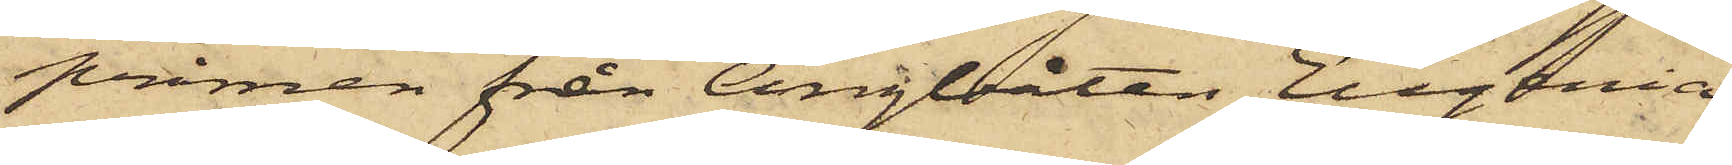pråmen från Ångbåten Eugenia,
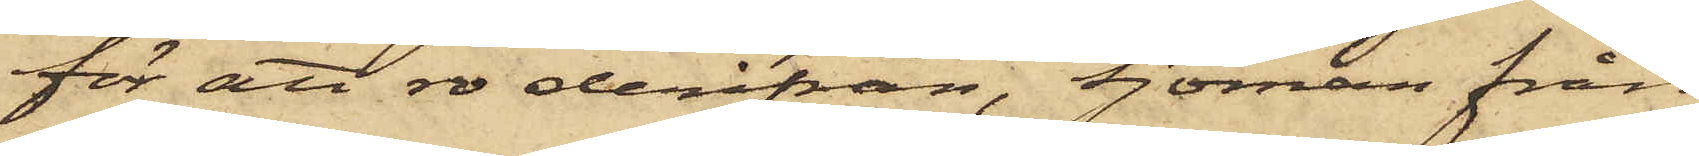för att ro derifrån, Sjöman från
